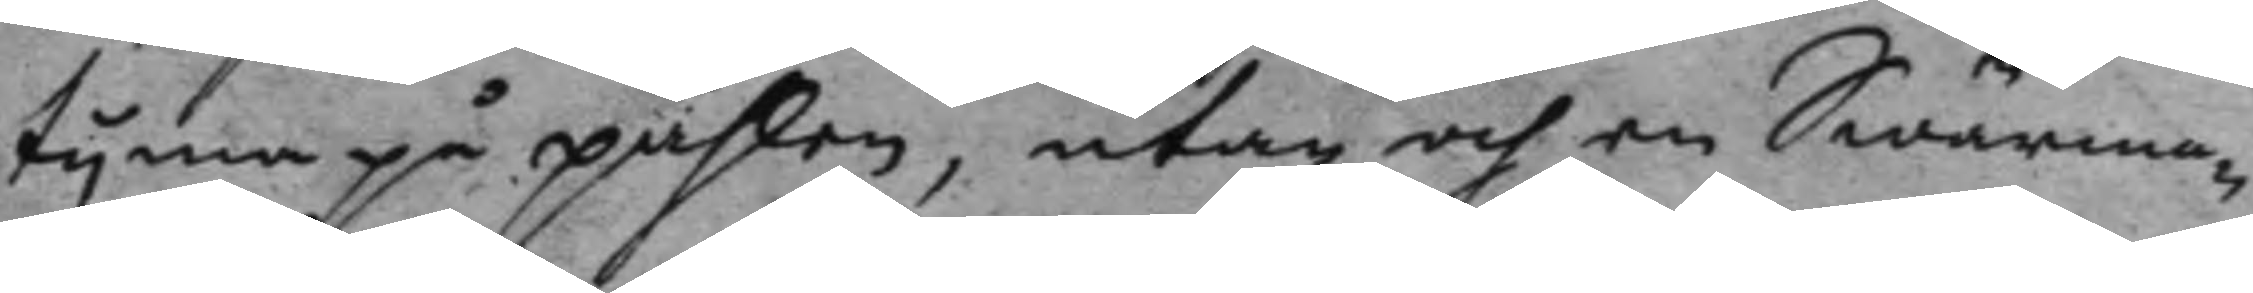tyma på påhlen, utan och en Swärma¬
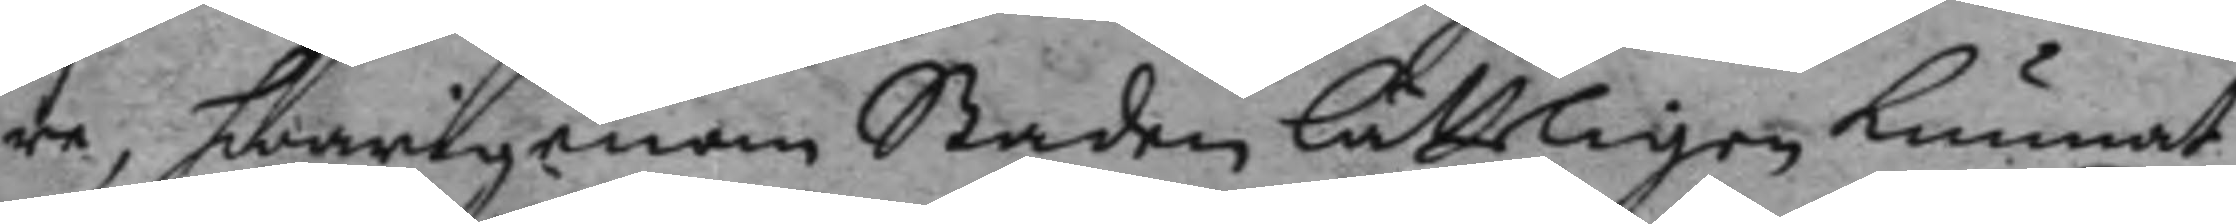re hwarigenom Staden lätteligen kunnat
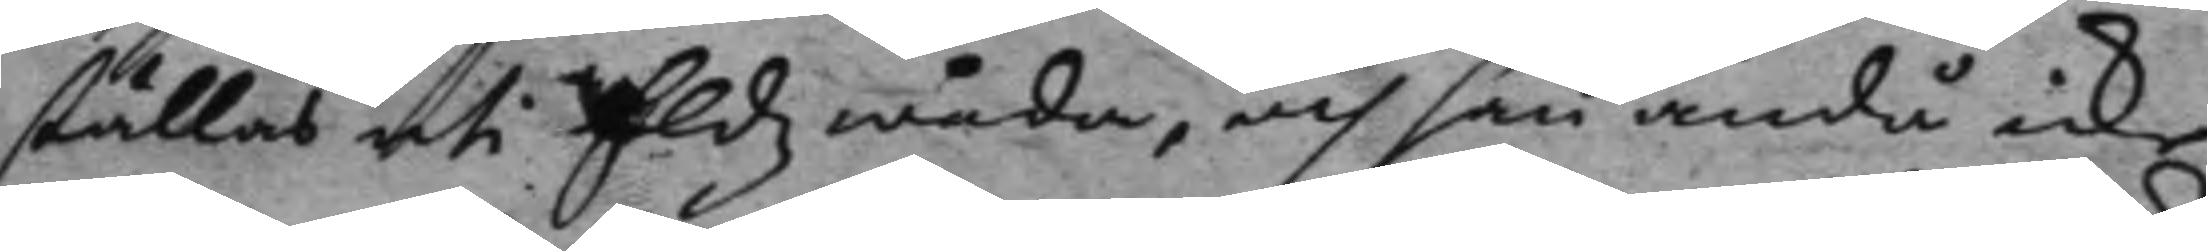ställas uti Eldz wåda, och han ndå icke
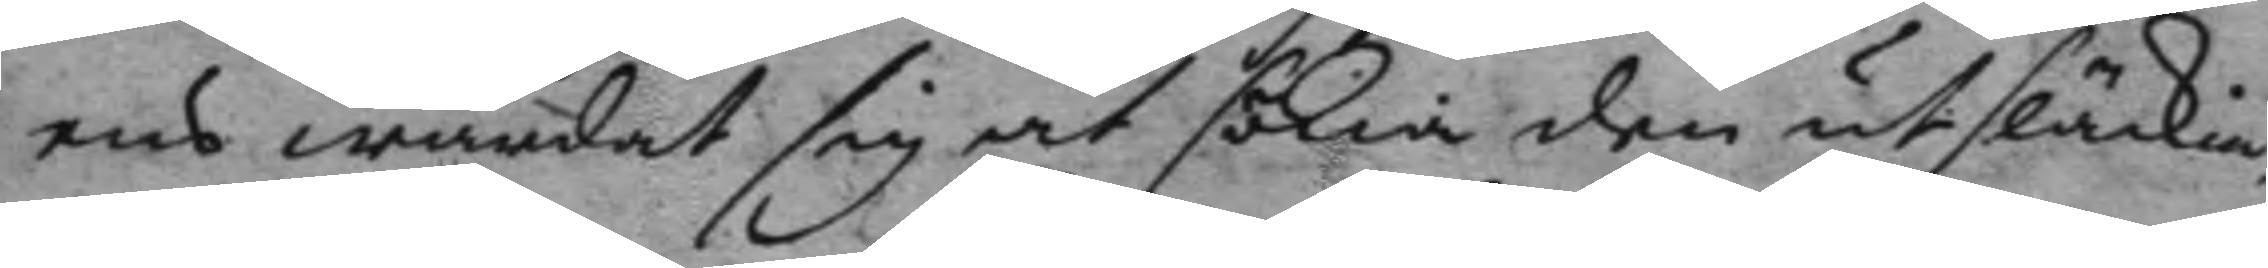ens wårdat sig at sökia den utsläckia
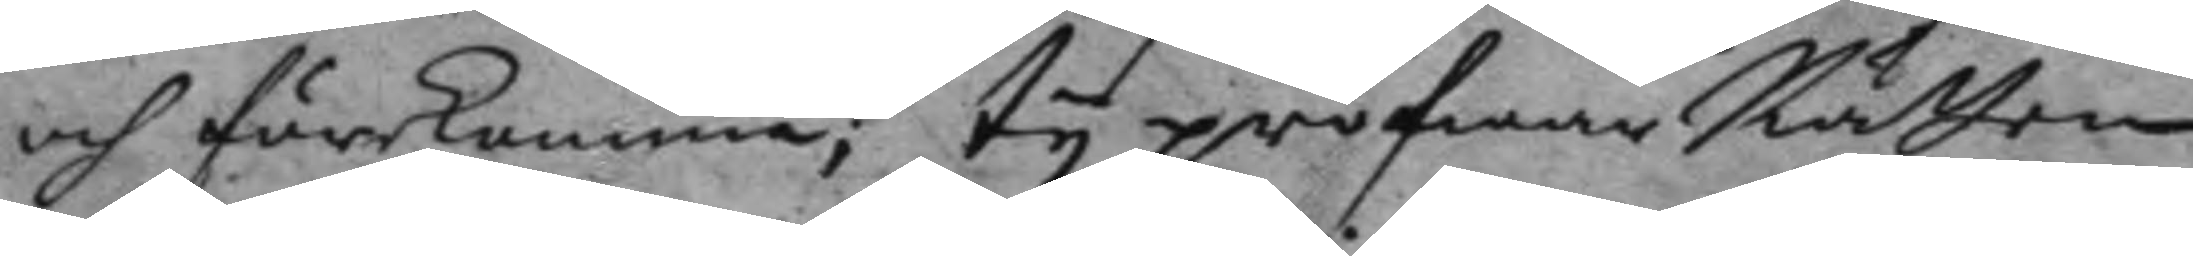och förekomma; ty pröfwar Rätten
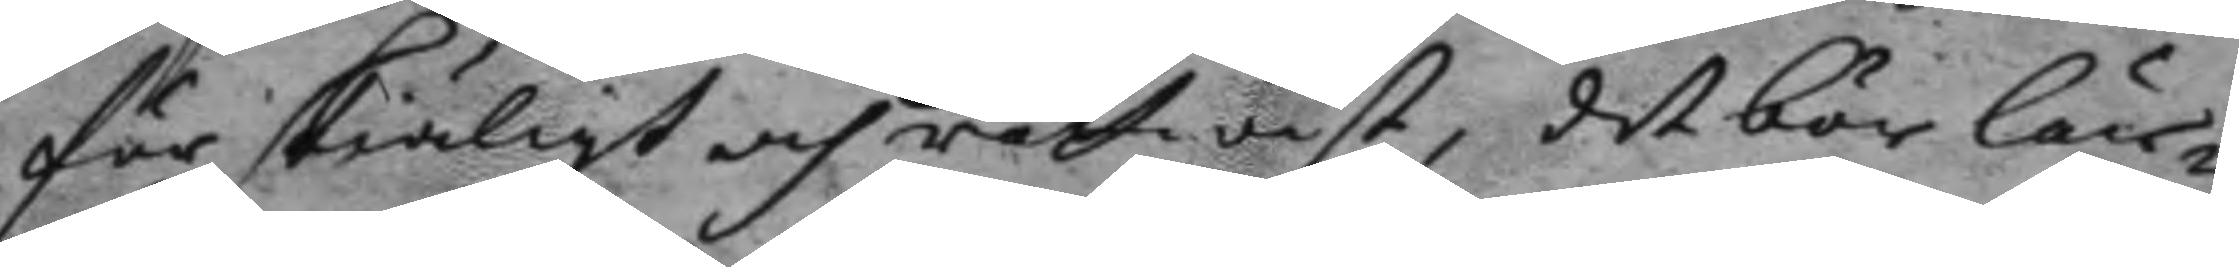för skiäligt och rättwist, det bör lär¬
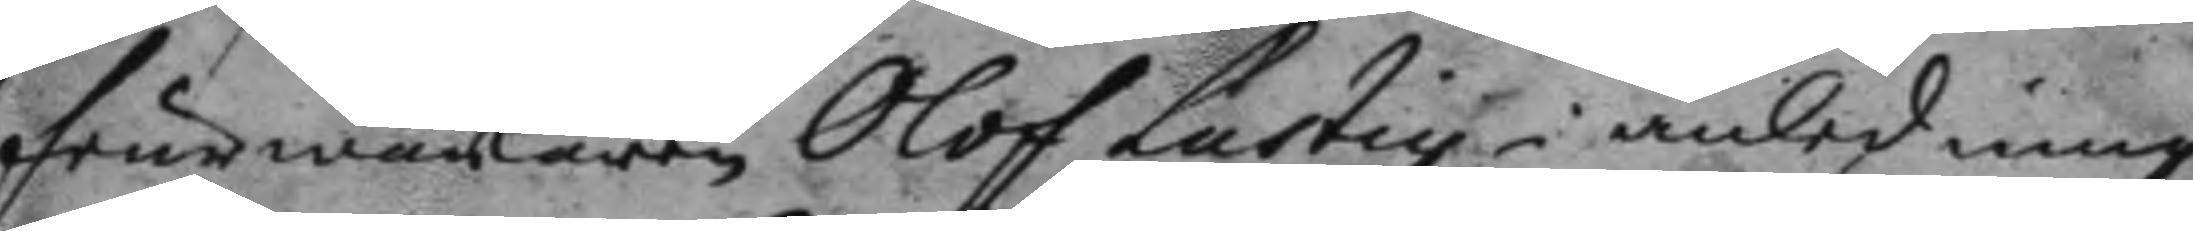feurwärkaren Olof Lustig i anledning
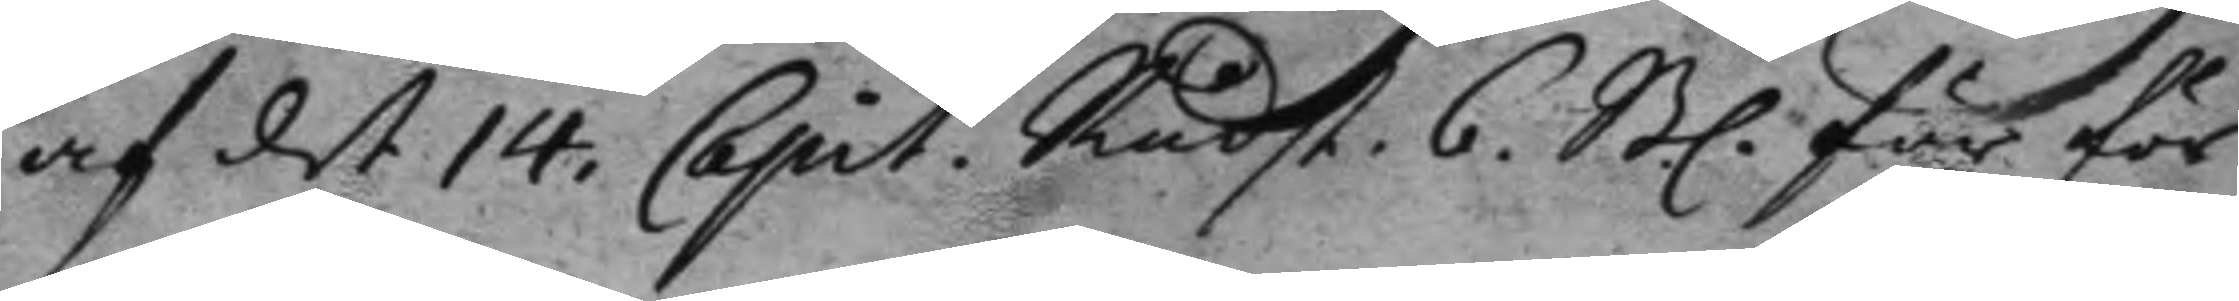af det 14. Capit. Rådst. 6. Bl. för för¬
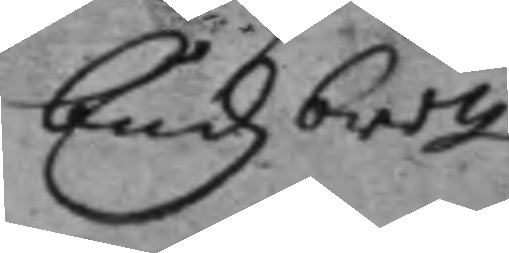budz brott
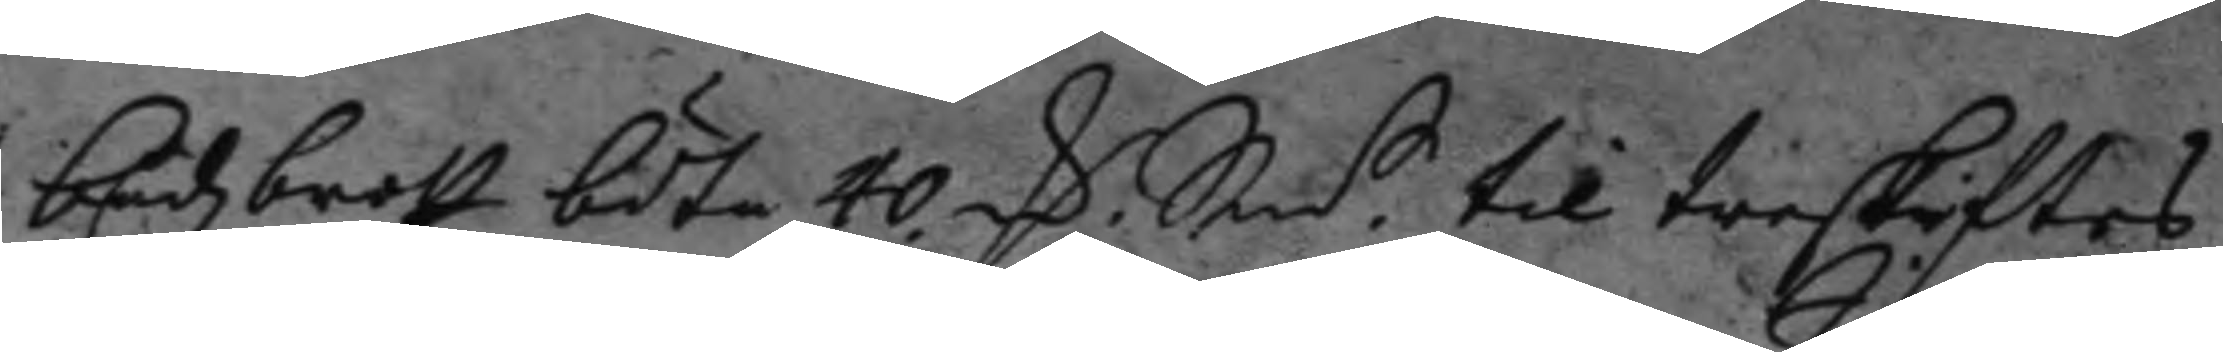budzbrott böta 40 C Sm.t til treskiftes
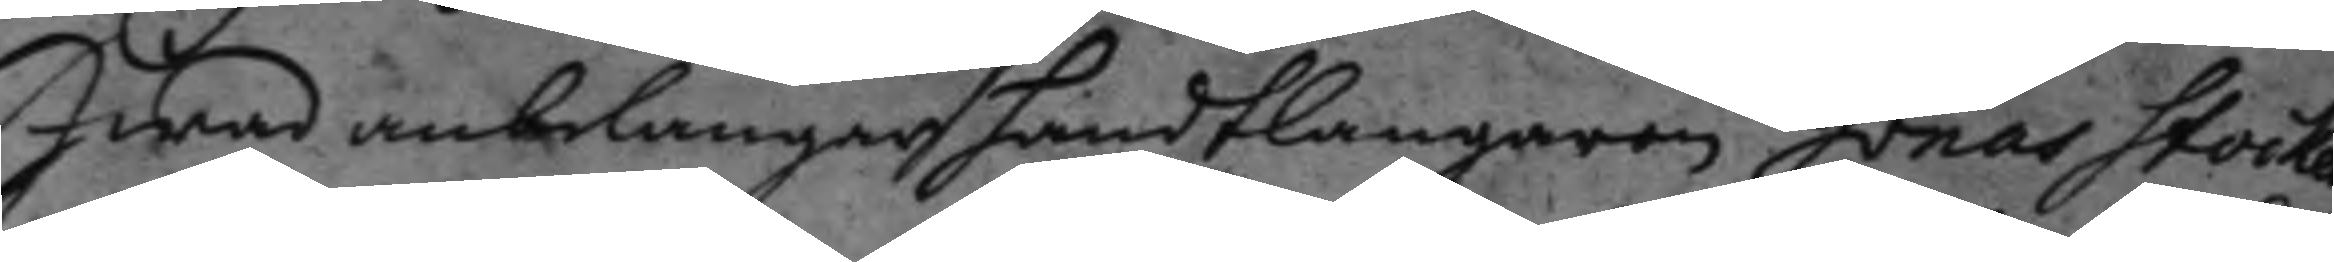hwad anbelangar handtlangaren Jonas Stocken¬
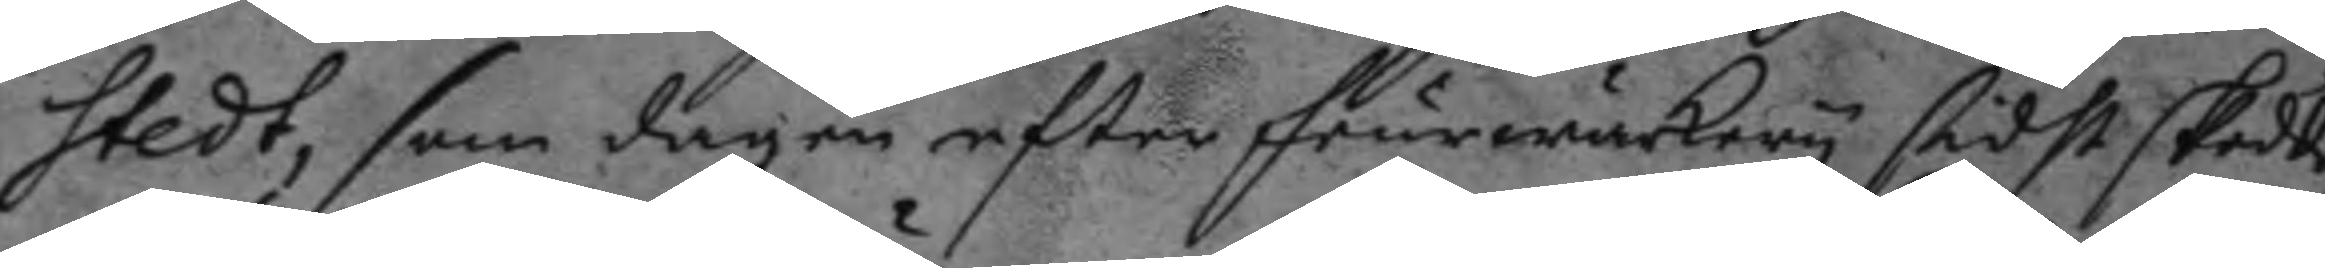stedt, som dagen efter feurwärkery sidst skedde,
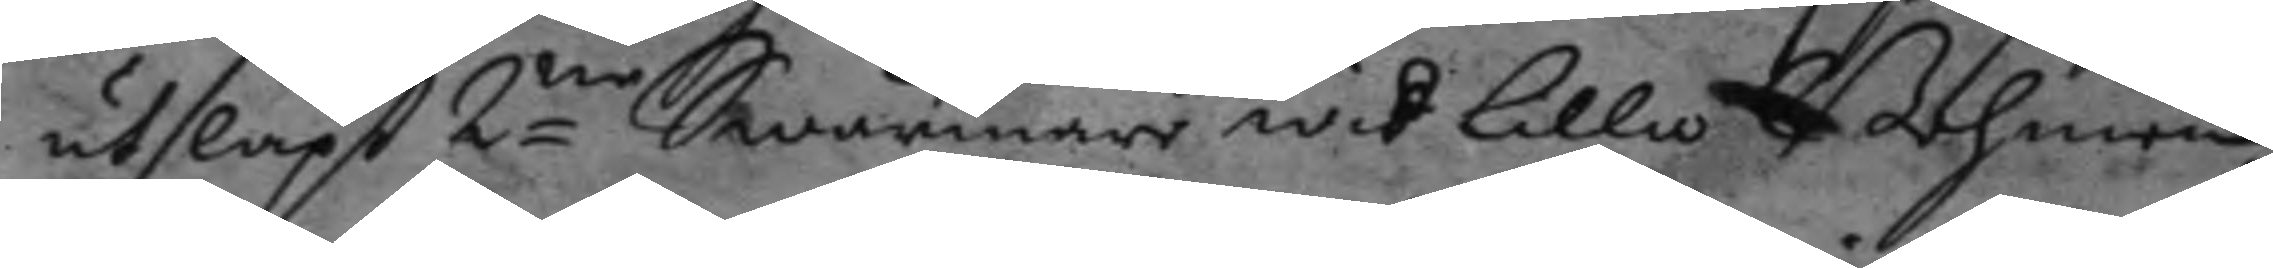utsläpt 2ne Swärmare wid lilla Bohmen
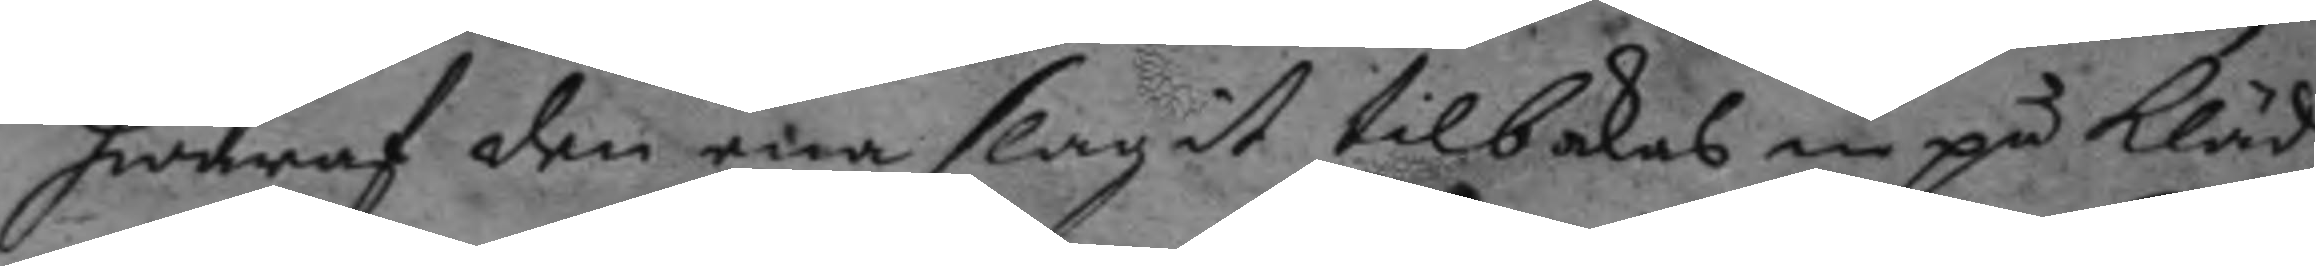hwaraf den ena slagit tilbakas in på kläd¬
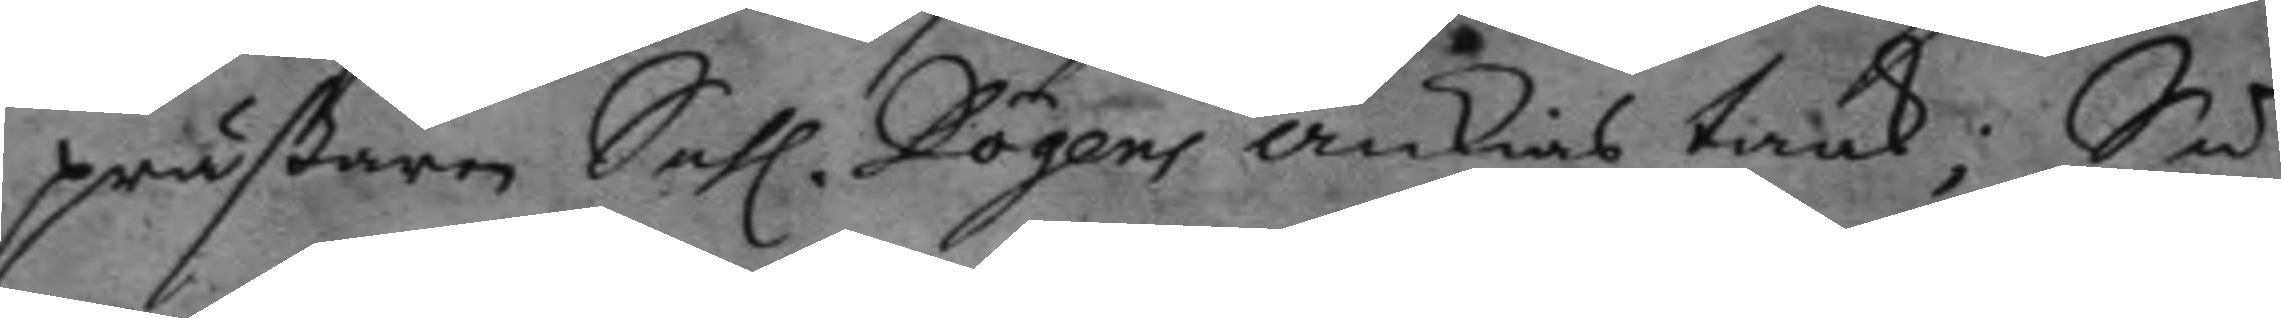präßaren Sahl. Dögens änkias taak, Så
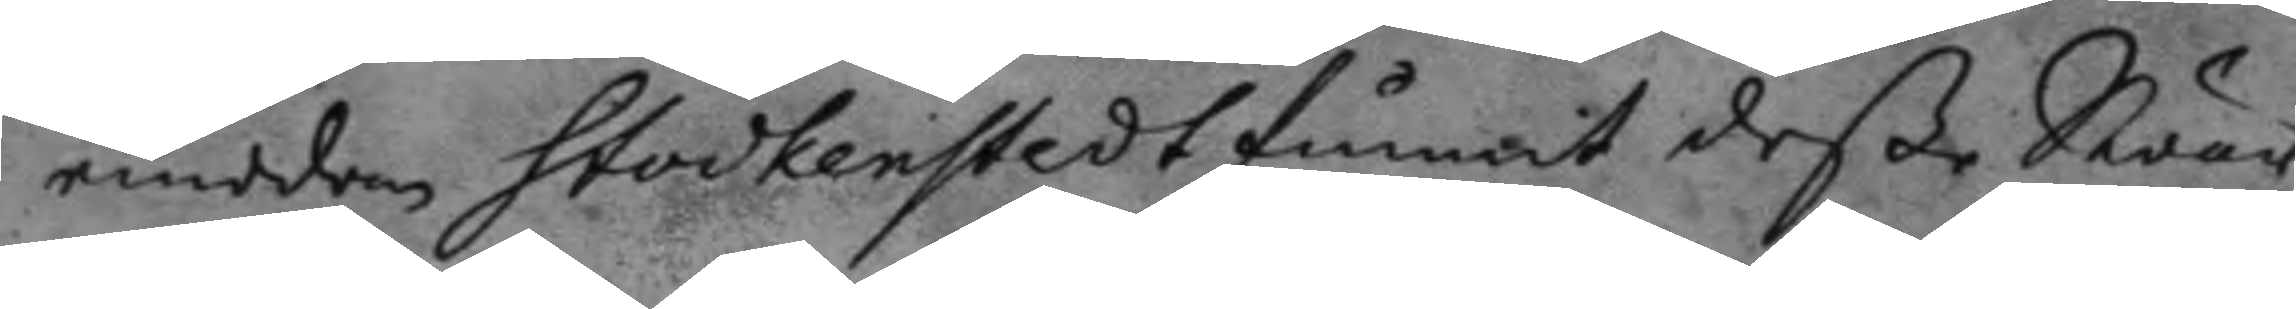emedan Stockenstedt funnit deße Swär¬
